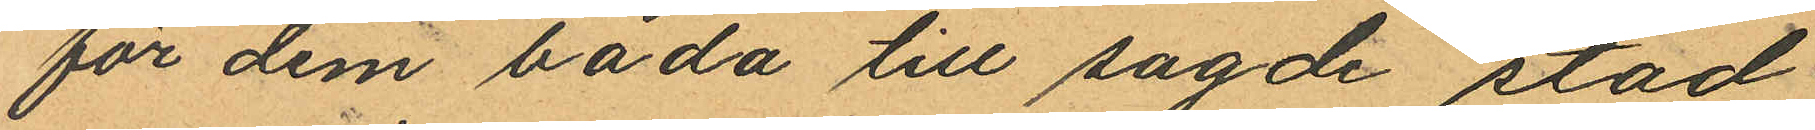för dem båda till sagde stad
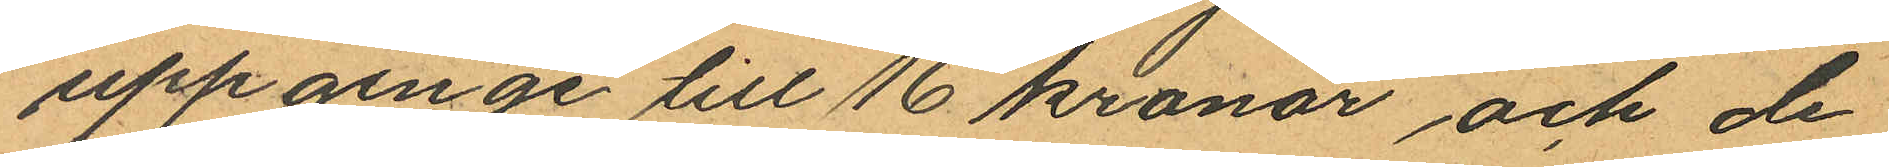uppginge till 16 kronor och de
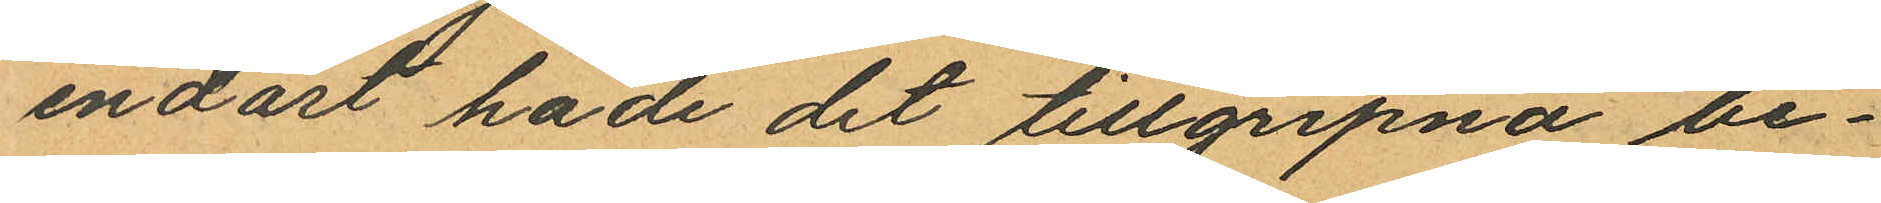endast hade det tillgripna be¬
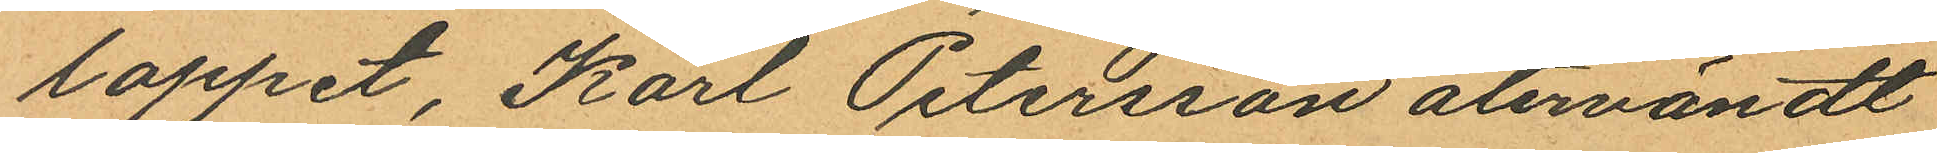loppet, Karl Petersson återvändt
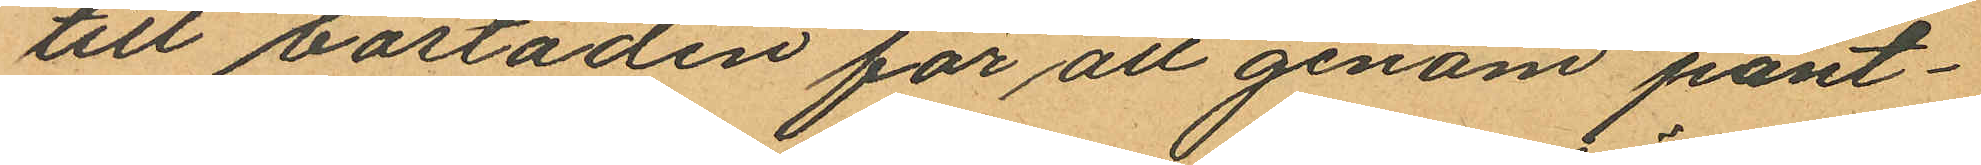till bostaden för att genom pant¬
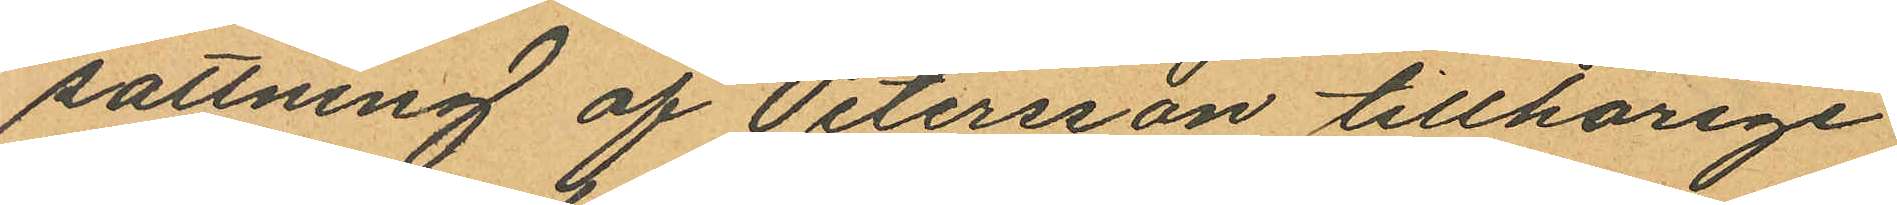sattning af Petersson tillhörige
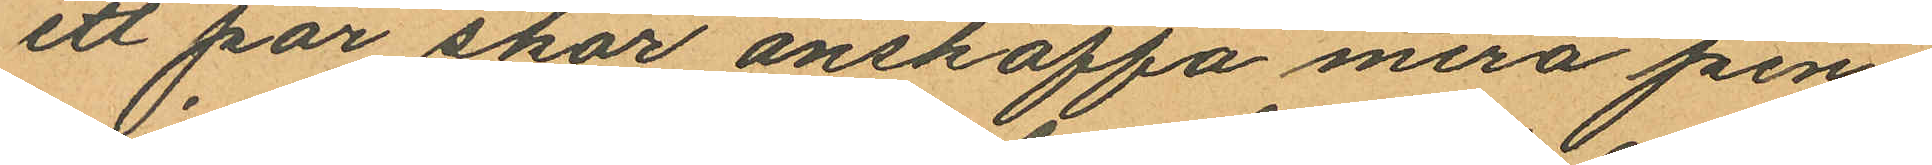ett par skor anskaffa mera pen¬
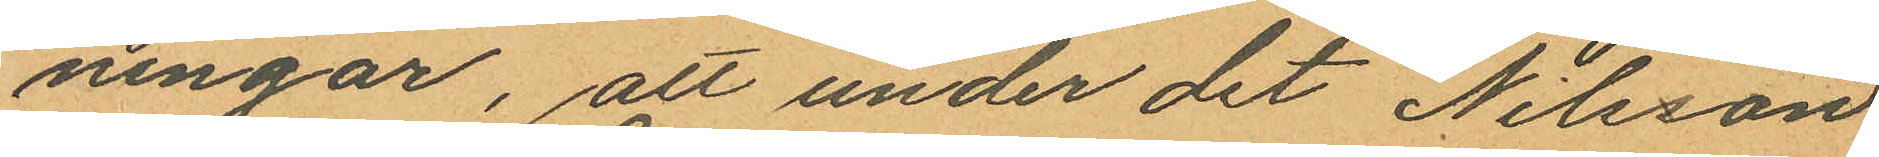ningar, att under det Nilsson
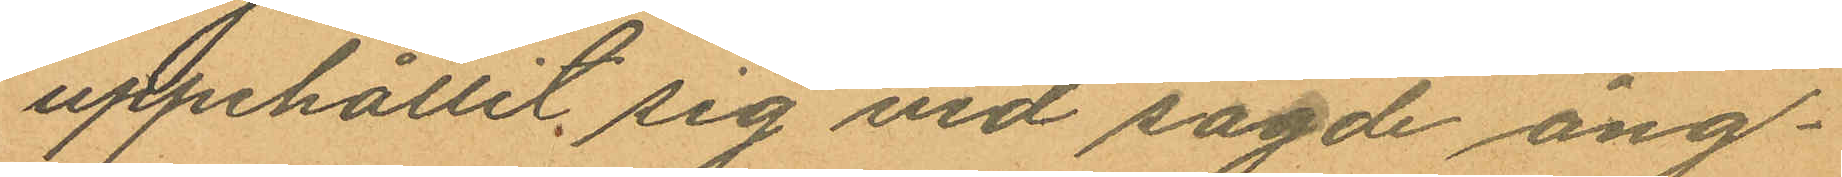uppehållit sig vid sagde ång¬
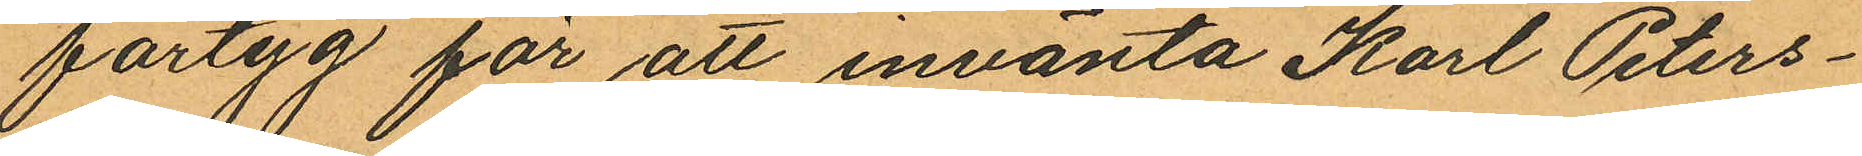fartyg för att invänta Karl Peters¬
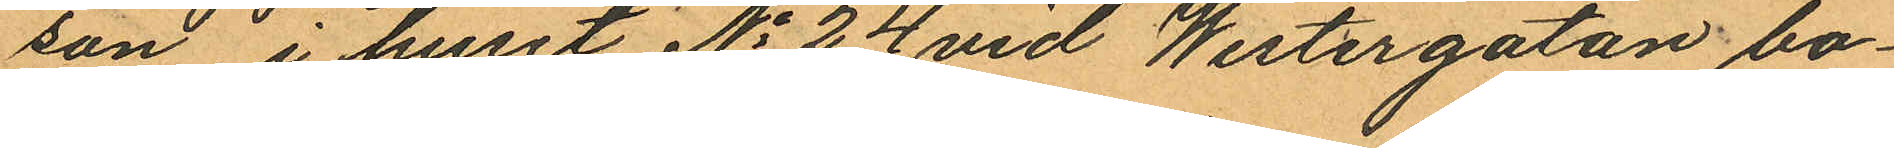son, i huset No 24 vid Westergatan bo¬
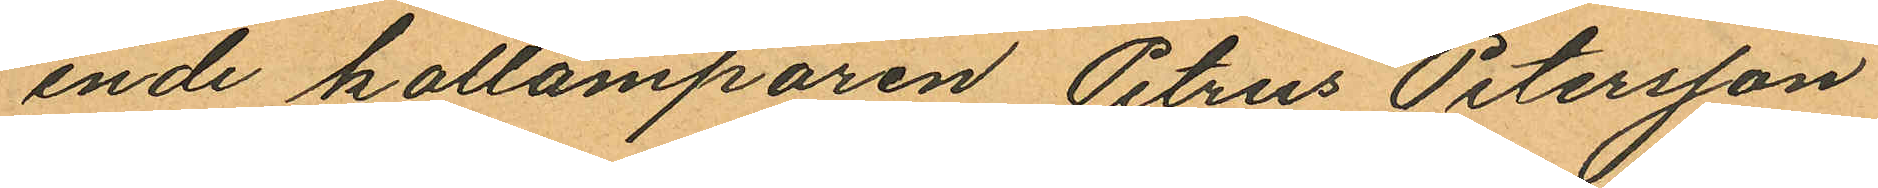ende kollämparen Petrus Petersson
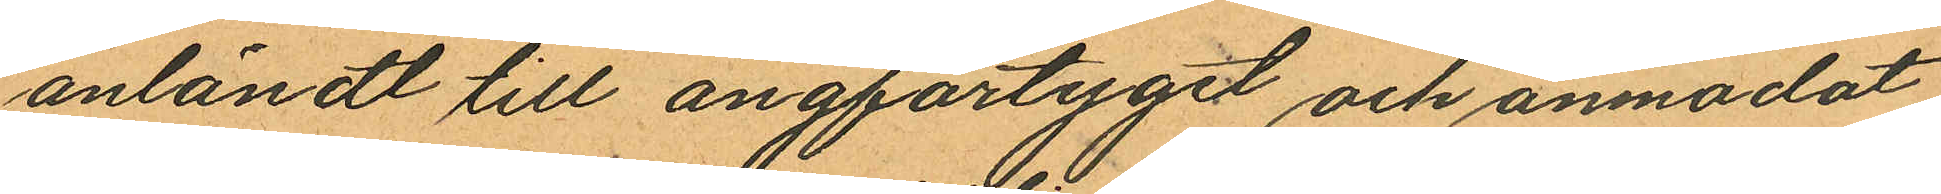anländt till ångfartyget och anmodat
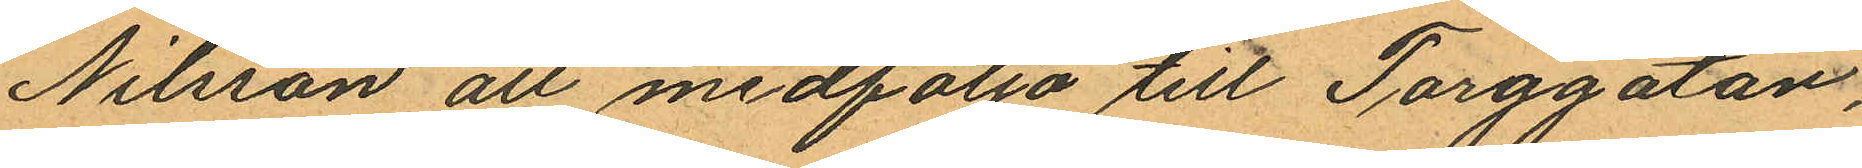Nilsson att medfölja till Torggatan,
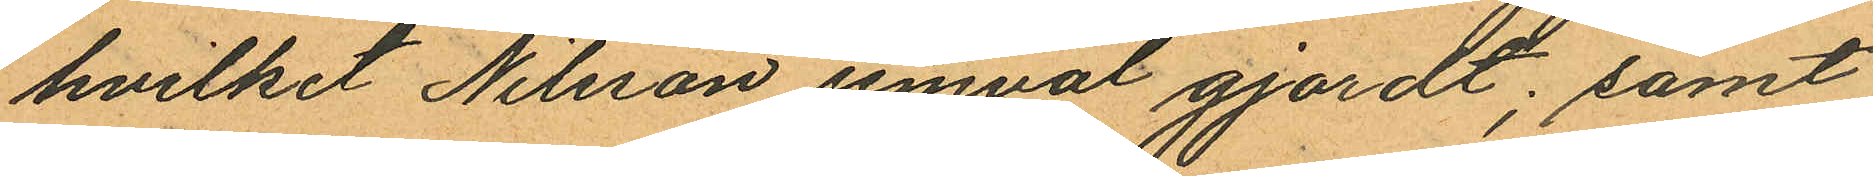hvilket Nilsson jemväl gjordt; samt
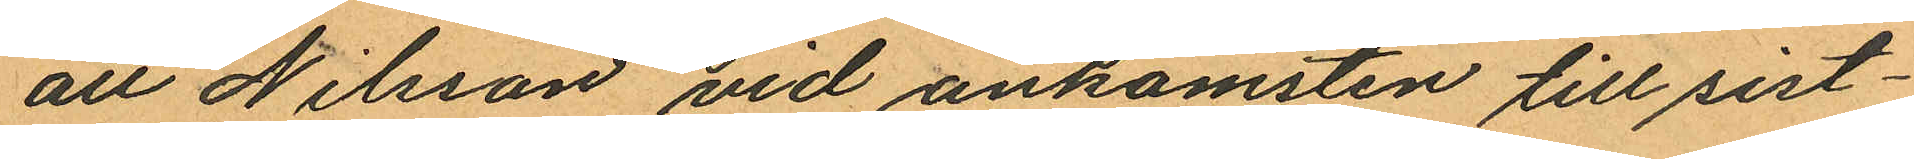att Nilsson vid ankomsten till sist¬
